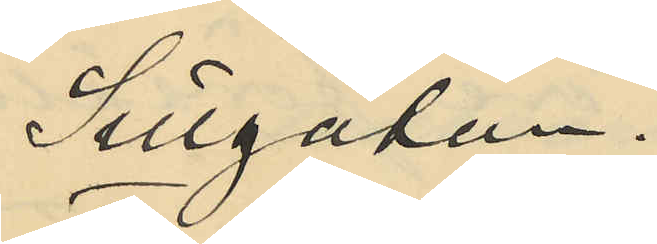Sillgatan.
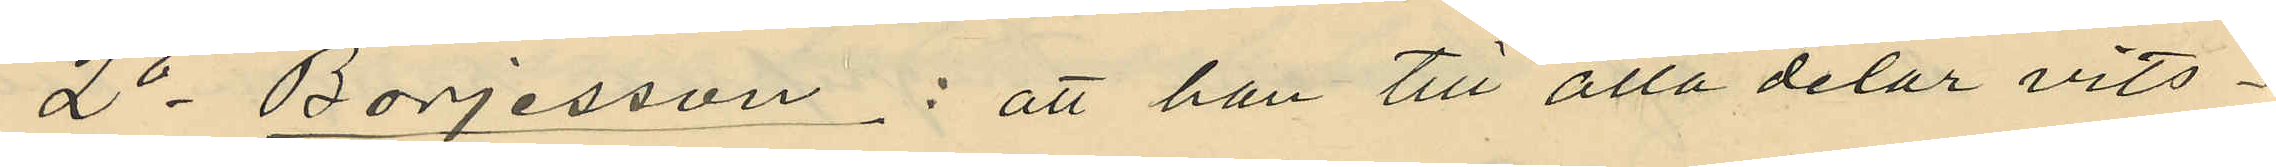2o Börjesson: att han till alla delar vits¬
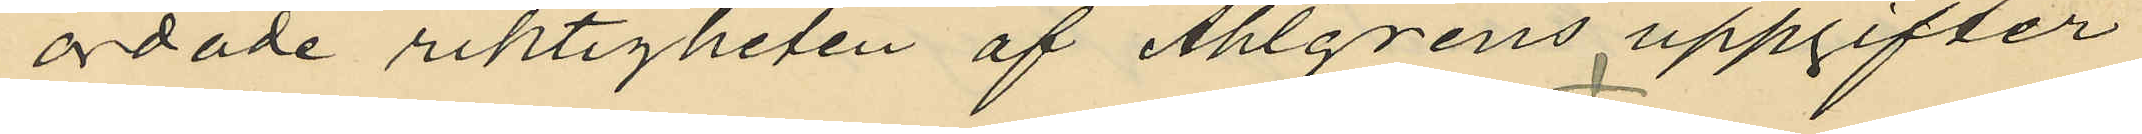ordade riktigheten af Ahlgrens uppgifter
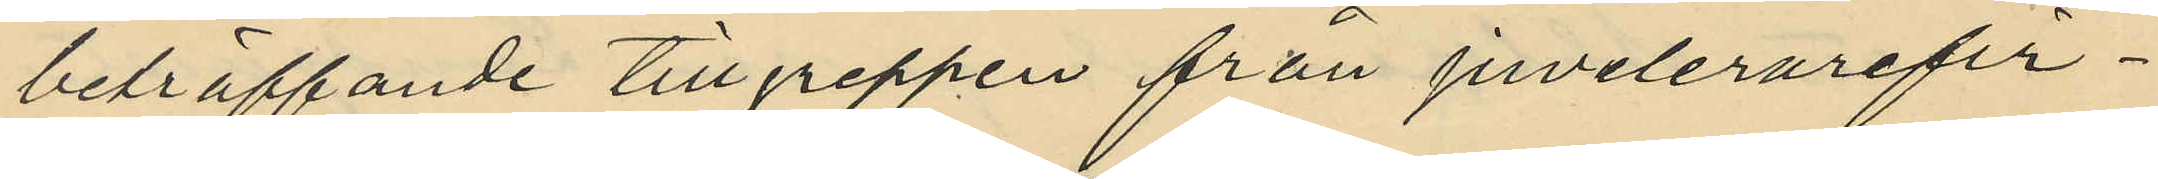beträffande tillgreppen från juvelerarefir¬
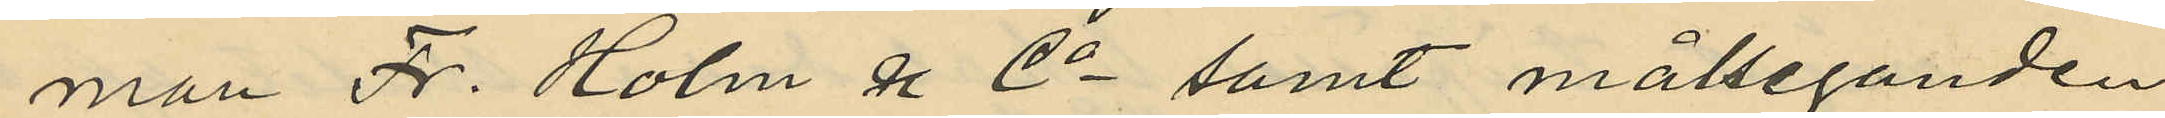man Fr. Holm & Co. samt målseganden
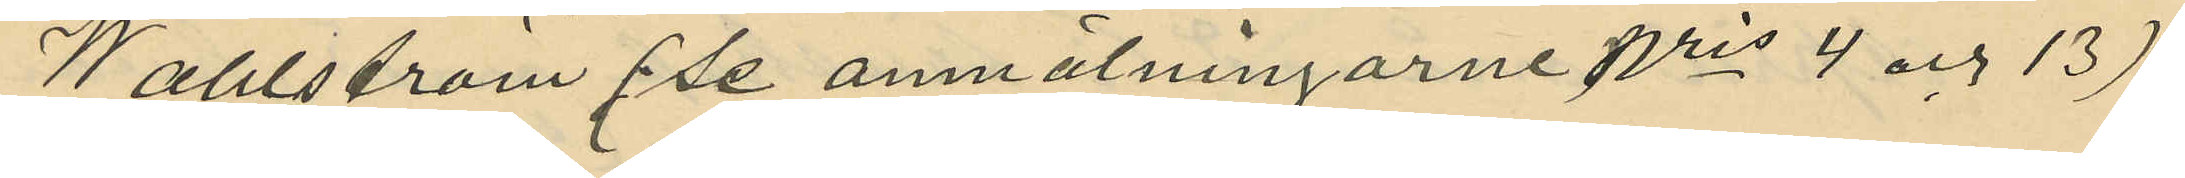Wahlström (se anmälningarne Nris 4 och 13);
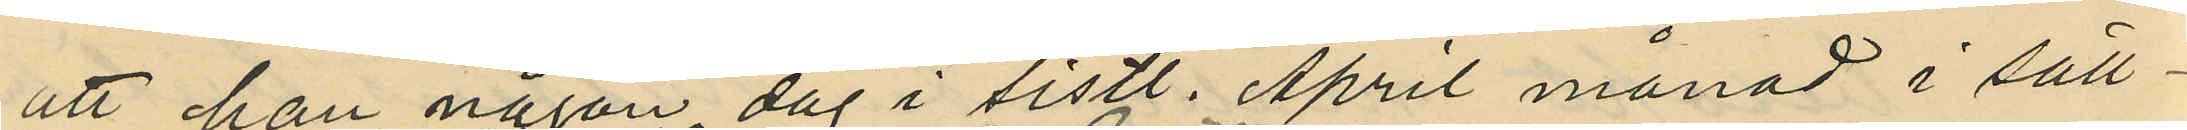att han någon dag i sistl. April månad i säll¬
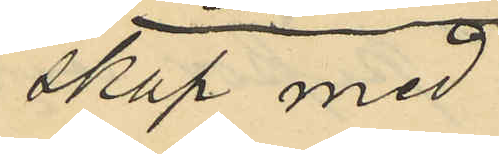skap med
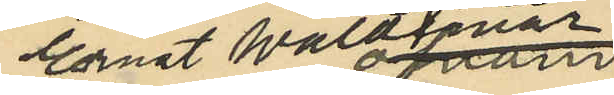Ernst Waldemar
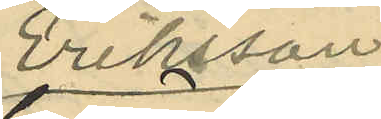Eriksson
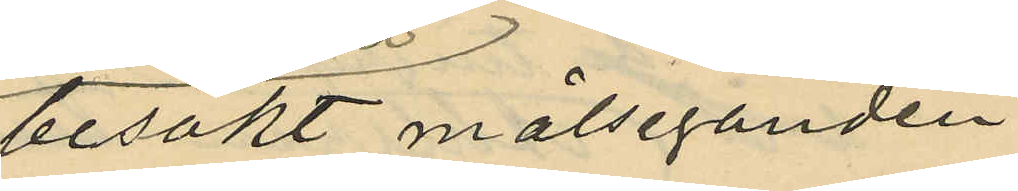besökt målseganden
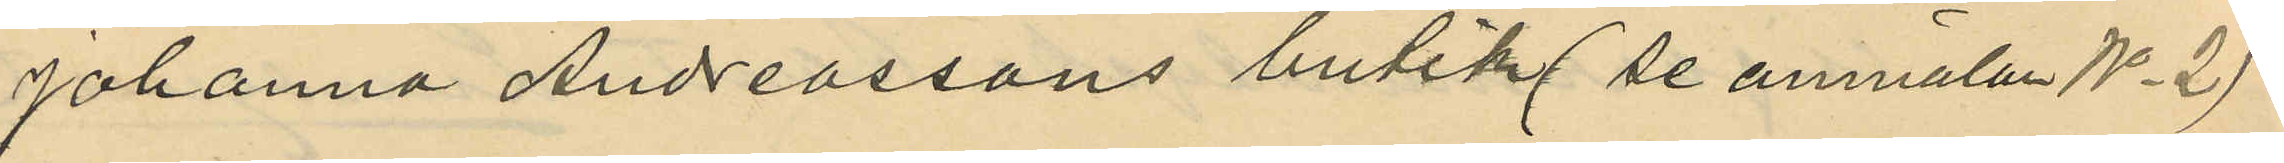Johanna Andreassons butik (se anmälan No 2)
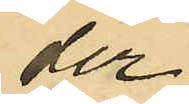der
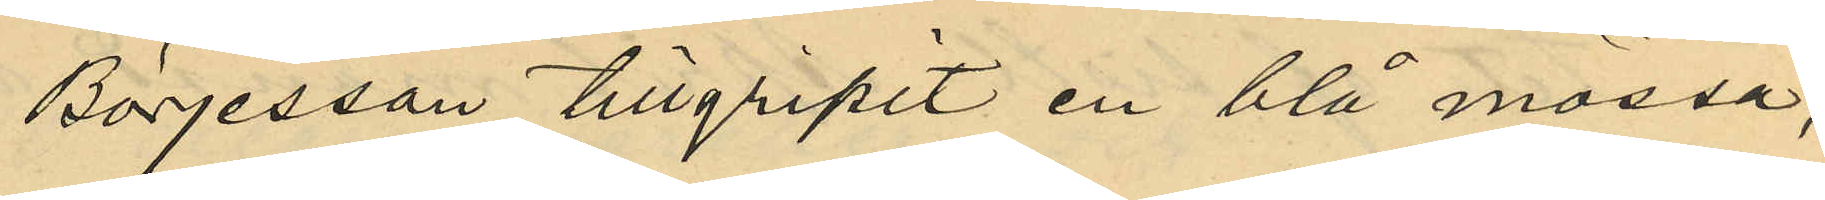Börjesson tillgripit en blå mössa,
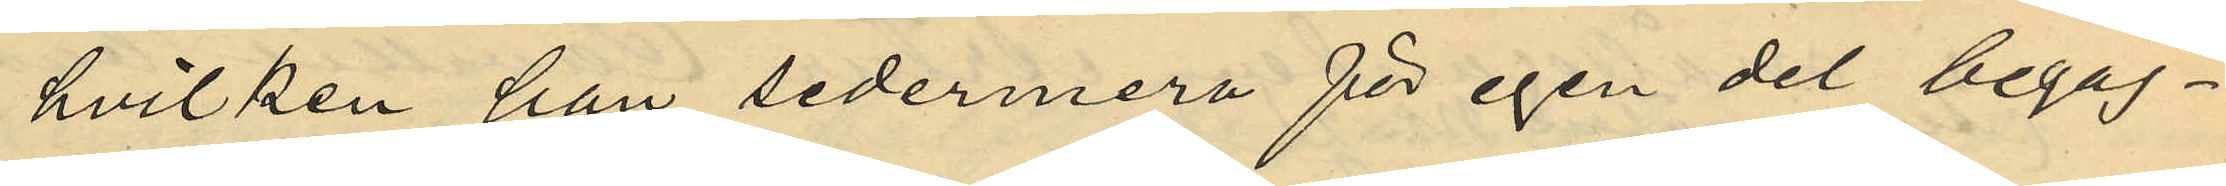hvilken han sedermera för egen del begag¬
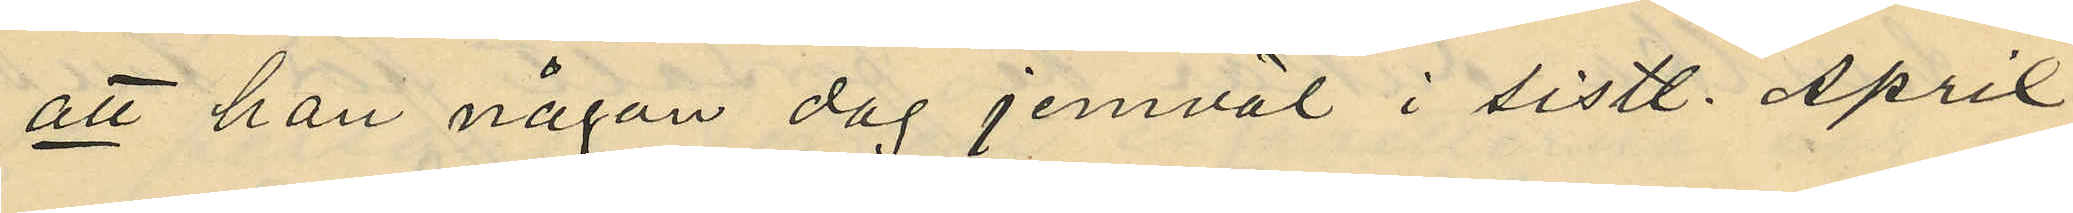att han någon dag jemväl i sistl. April
